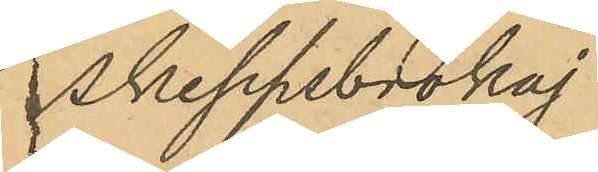Skeppsbrokaj.
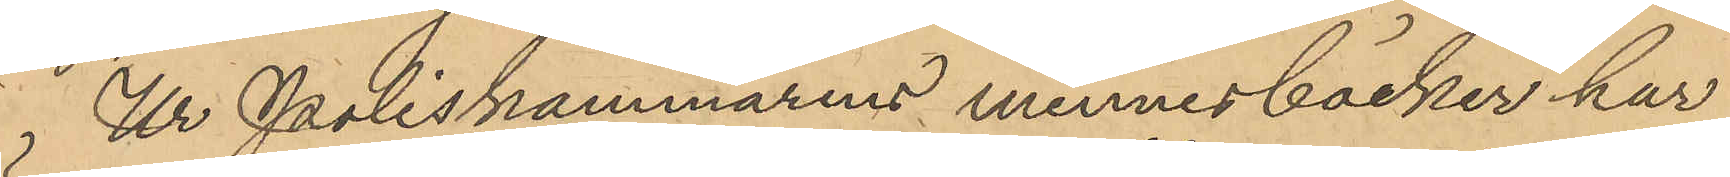Ur Poliskammarens minnesböcker har
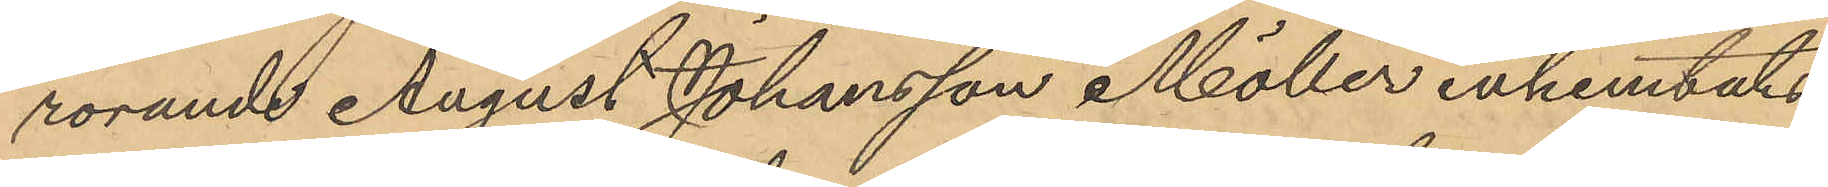rörande August Johansson Möller inhemtats
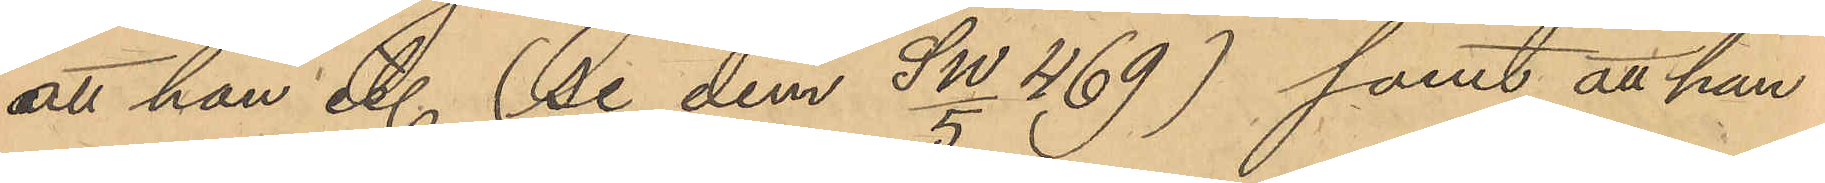att han Et. (se dem SW/5 469) samt att han
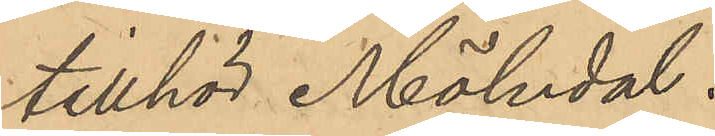tillhör Mölndal.
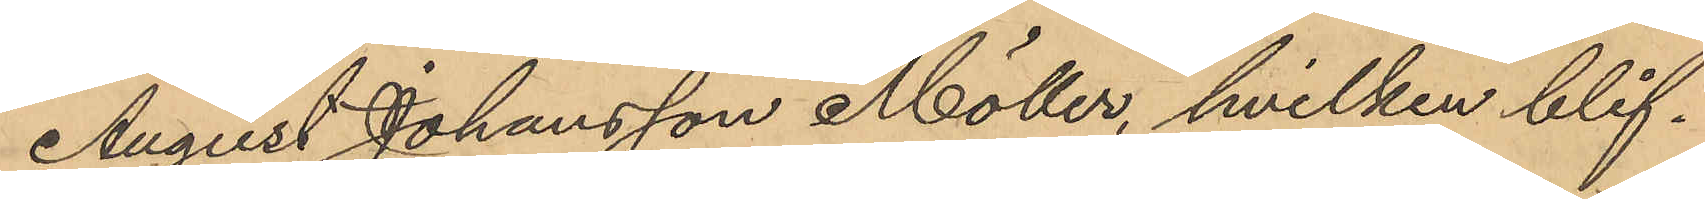August Johansson Möller, hvilken blif¬
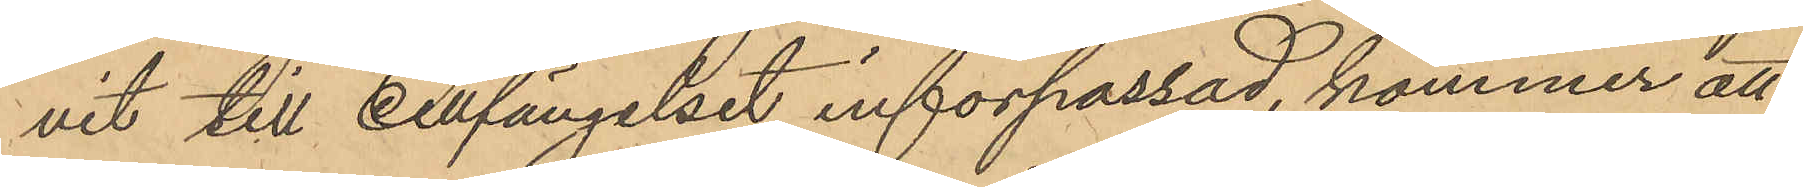vit till Cellfängelset införpassad, kommer att
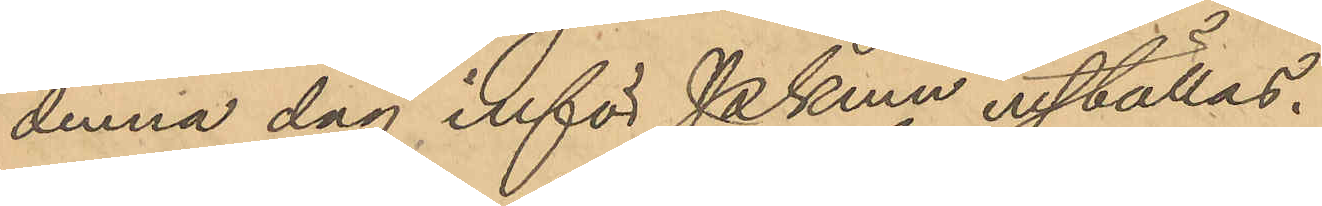denna dag inför Pkmn inställas.
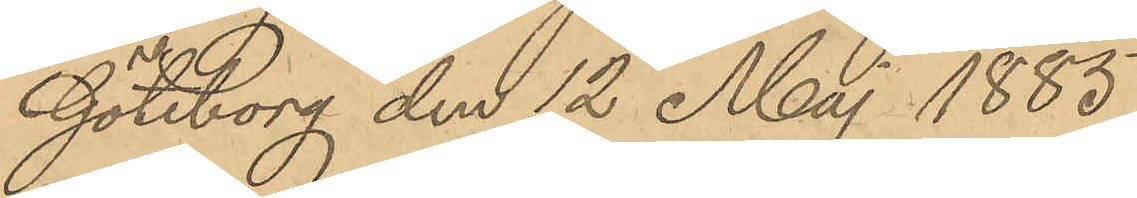Göteborg den 12 Maj 1885.
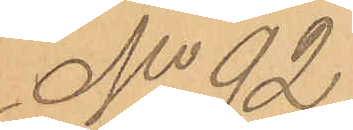No 92
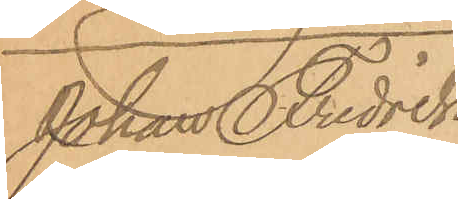Johan Fredrick
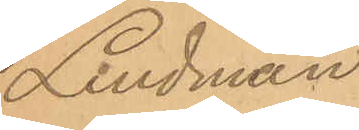Lindman
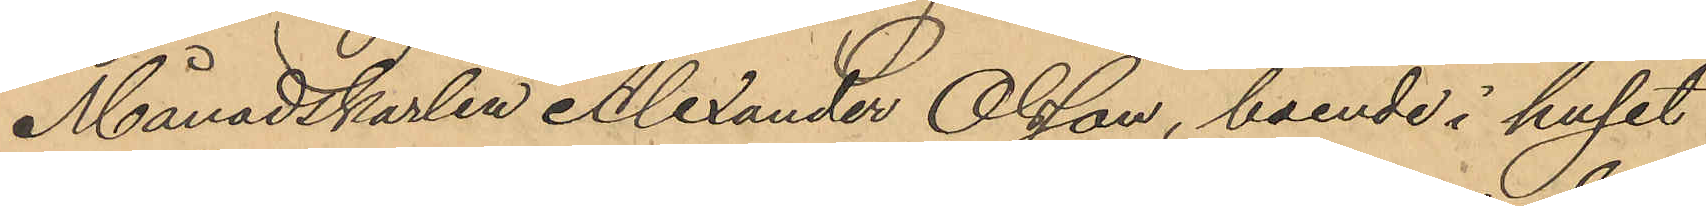Månadskarlen Alexander Olsson, boende i huset
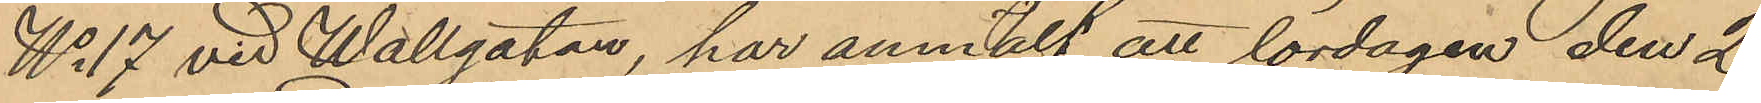No 17 vid Wallgatan, har anmält att lördagen den 2
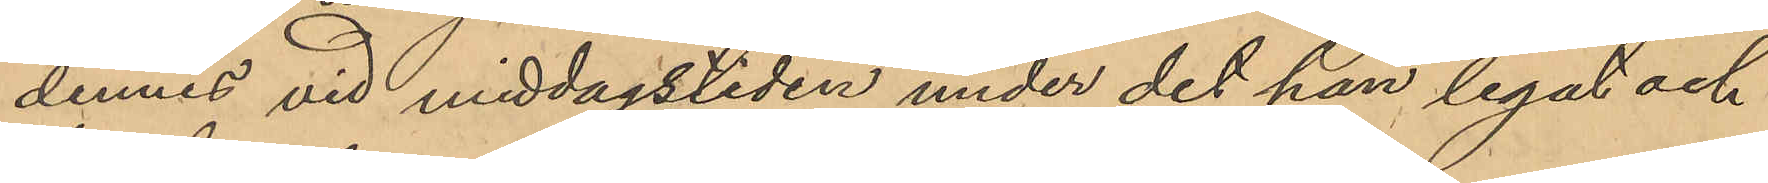dennes vid middagstiden under det han legat och
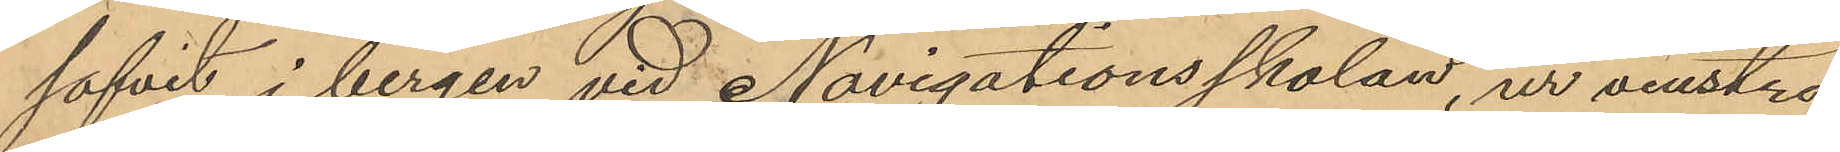sofvit i bergen vid Navigationsskolan, ur venstra
